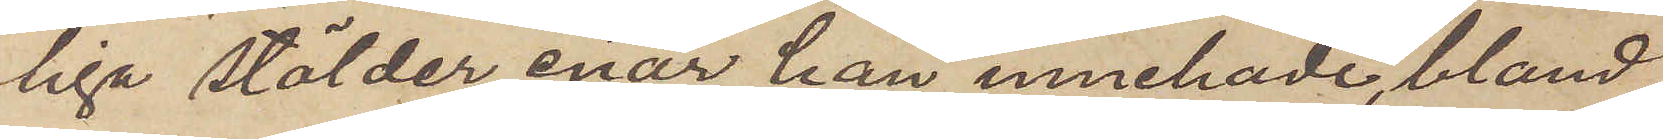liga stölder enär han innehade, bland
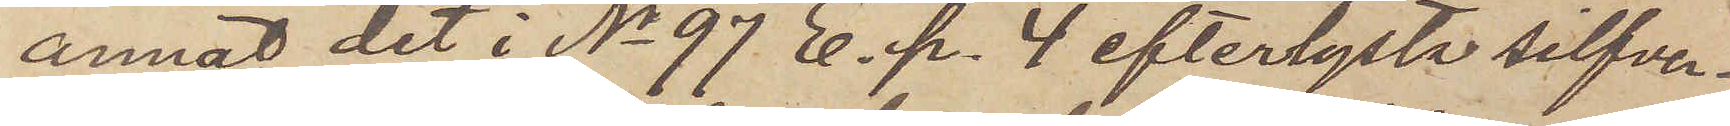annat det i No 97 E. p. 4 efterlysta silfver¬
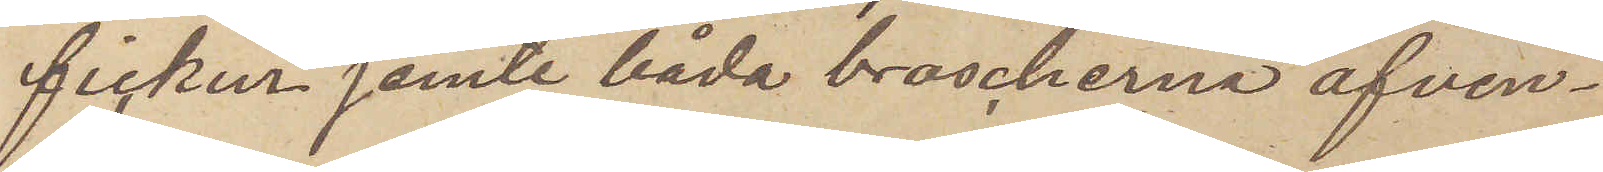fickur jemte båda broscherna äfven¬
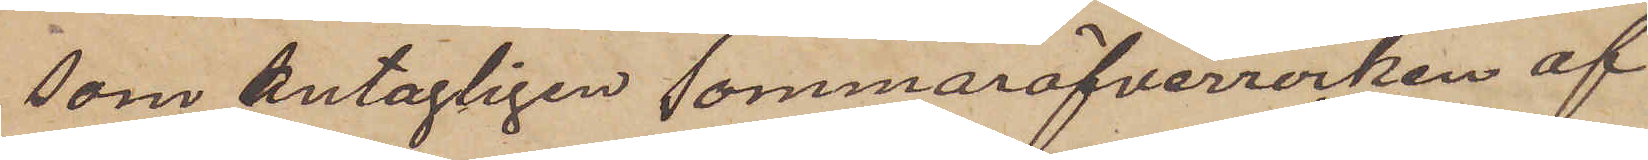som antagligen sommaröfverrocken af
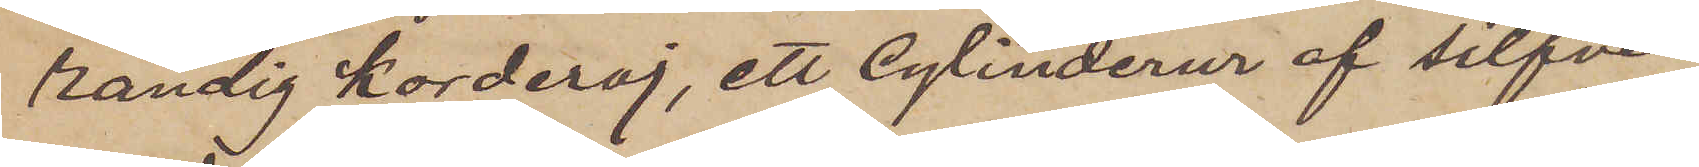randig korderoj, ett Cylinderur af silfver
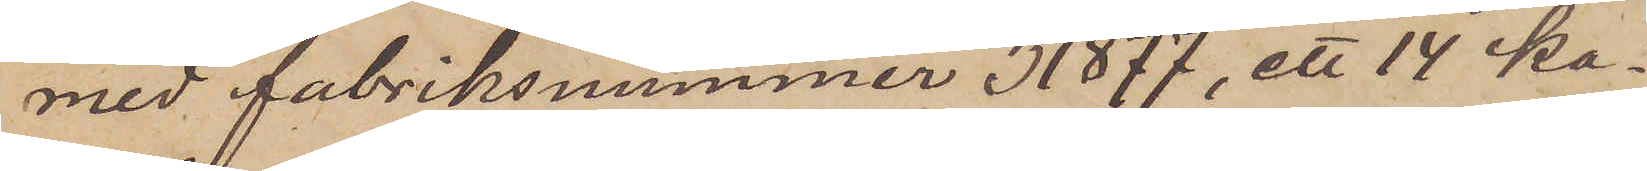med fabriksnummer 31877, ett 14 ka¬
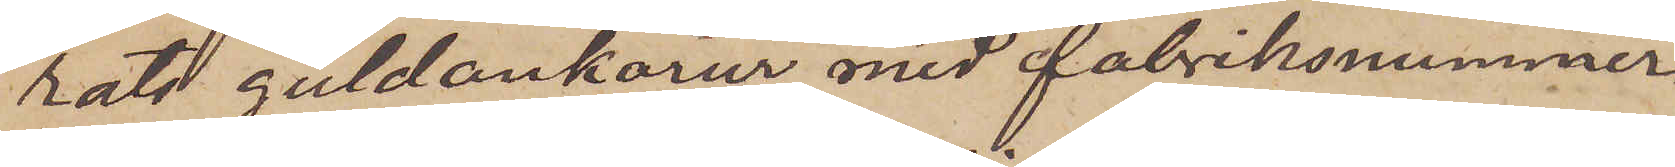rats guldankarur med fabriksnummer
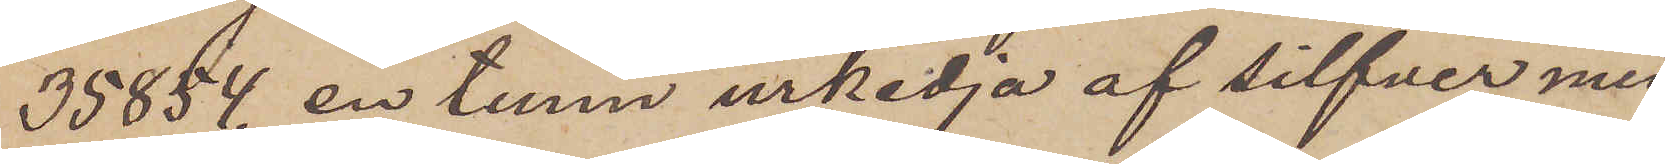35854, en tunn urkedja af silfver med
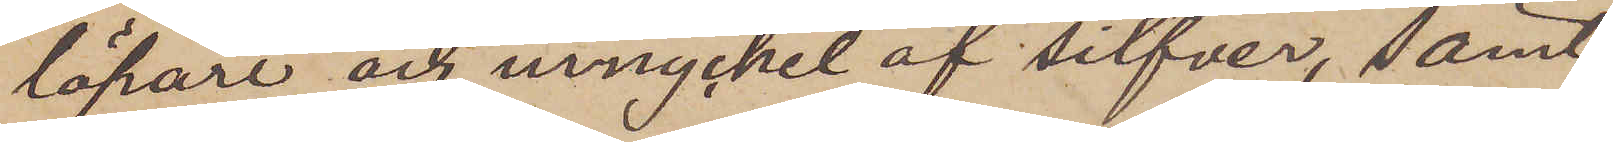löpare och urnyckel af silfver, samt
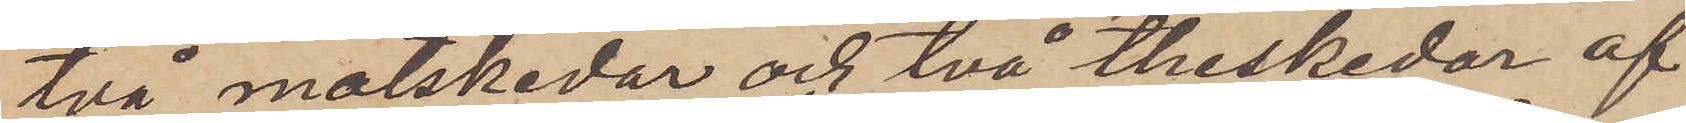två matskedar och två theskedar af
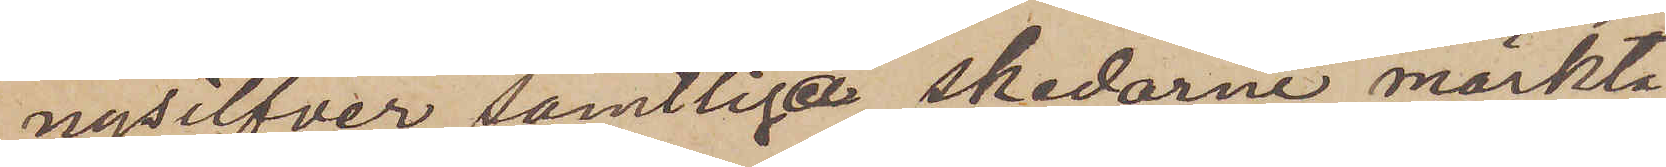nysilfver samtliga skedarne märkta
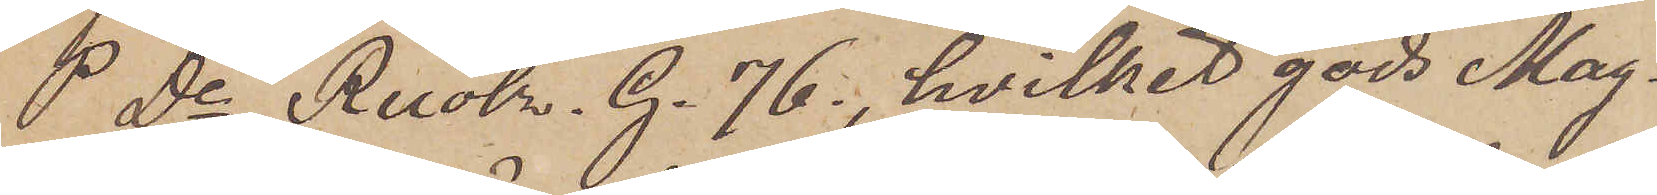P. De Ruolr. G. 76., hvilket gods Mag¬
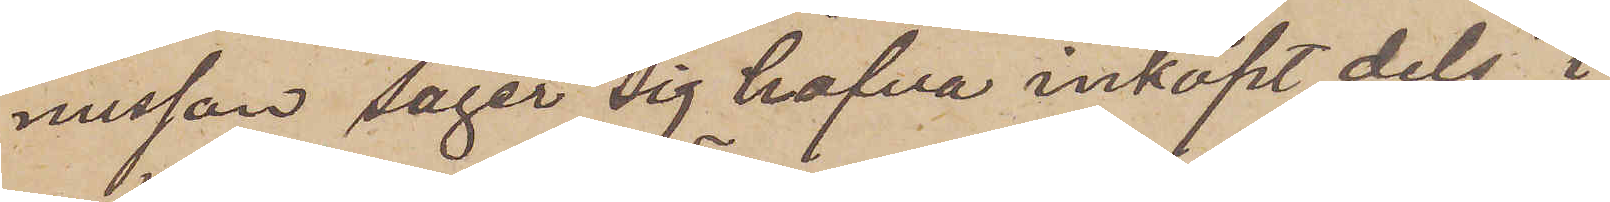nusson säger sig hafva inköpt dels i
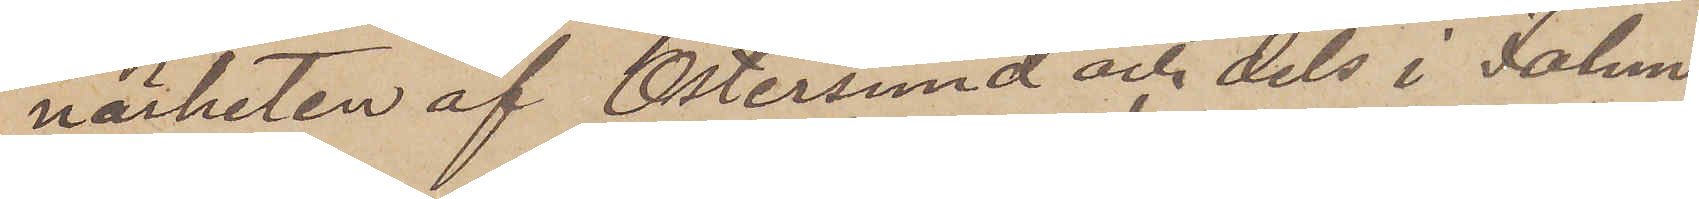närheten af Östersund och dels i Falun.
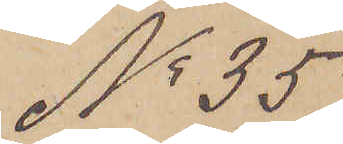No 35.
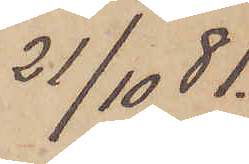21/10  81.
